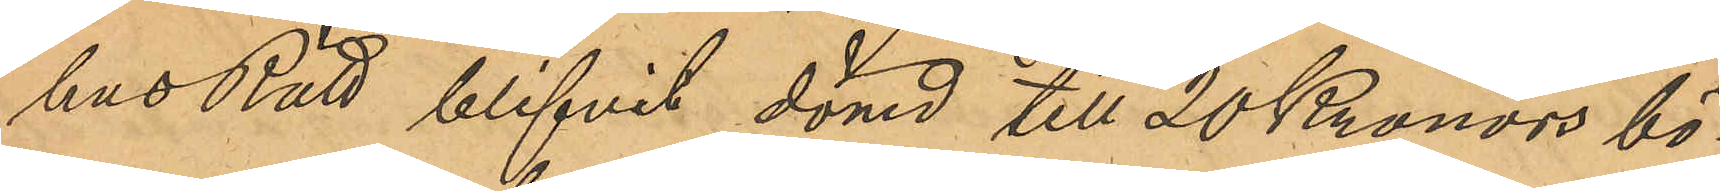hus Rätt blifvit dömd till 20 Kronors bö¬
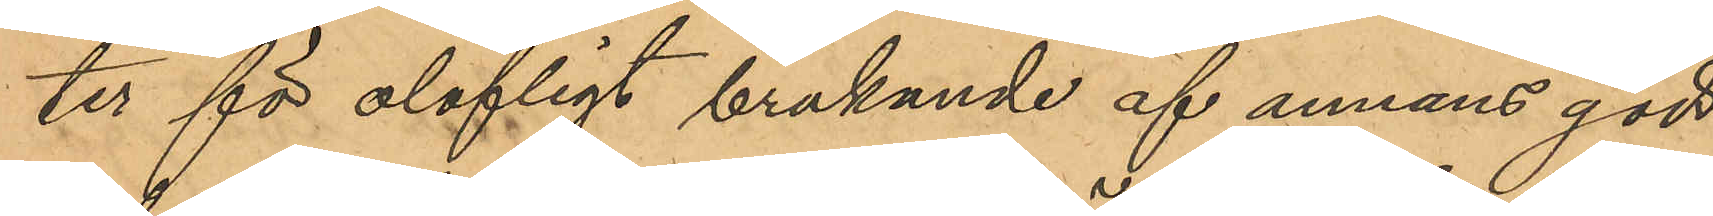ter för olofligt brukande af annans gods
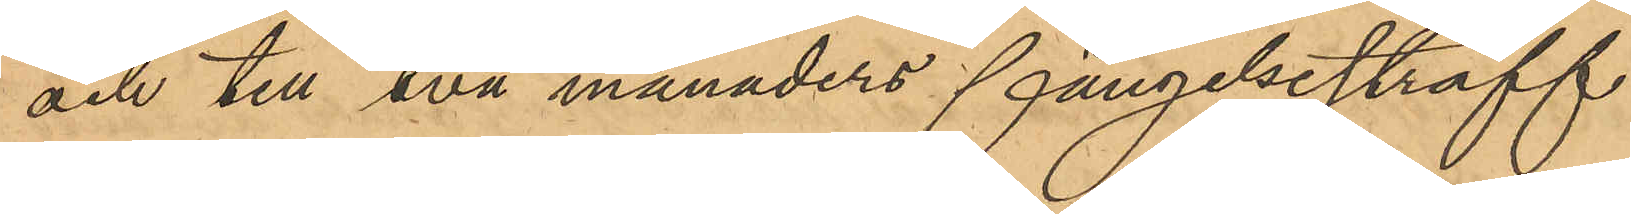och till 2 månaders fängelsestraff
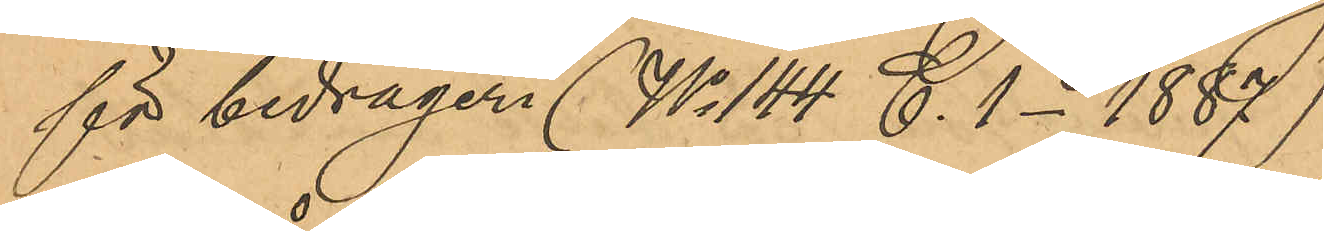för bedrägeri (No 144 C 1 - 1887).
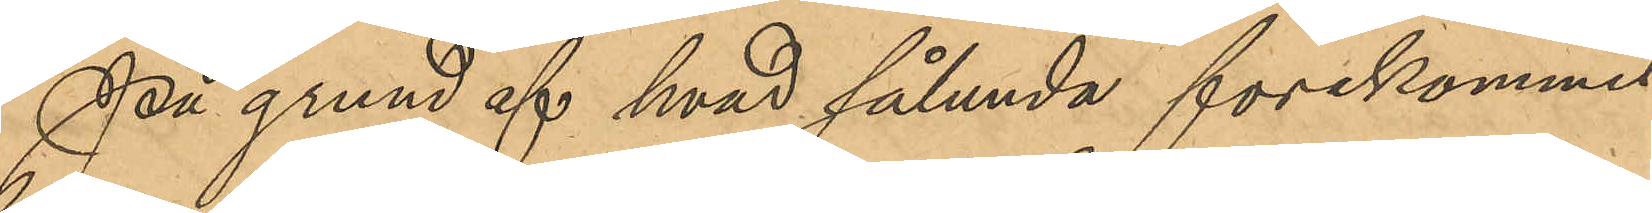På grund af hvad sålunda förekommit
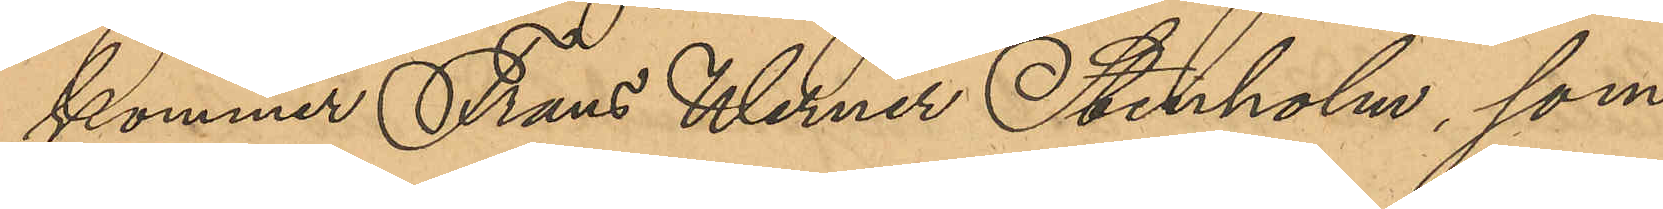kommer Frans Werner Stenholm, som
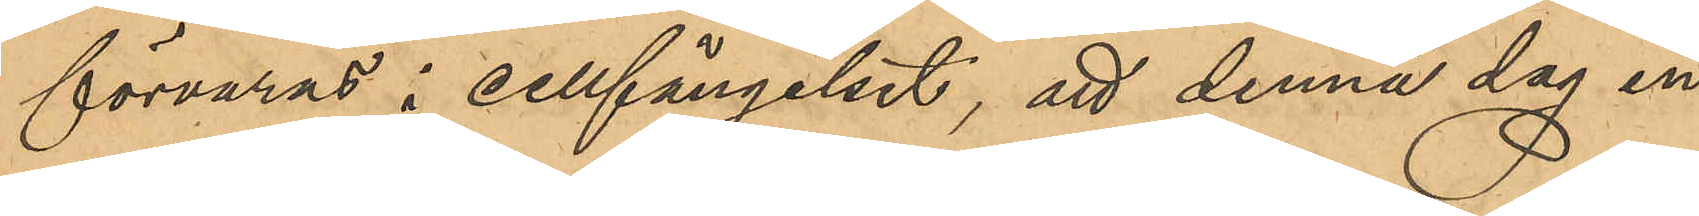förvaras i cellfängelset, att denna dag in¬
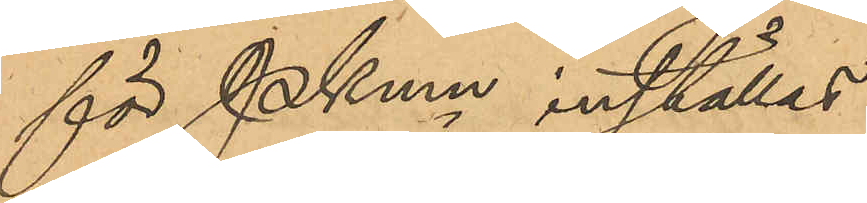för PKmn inställas.
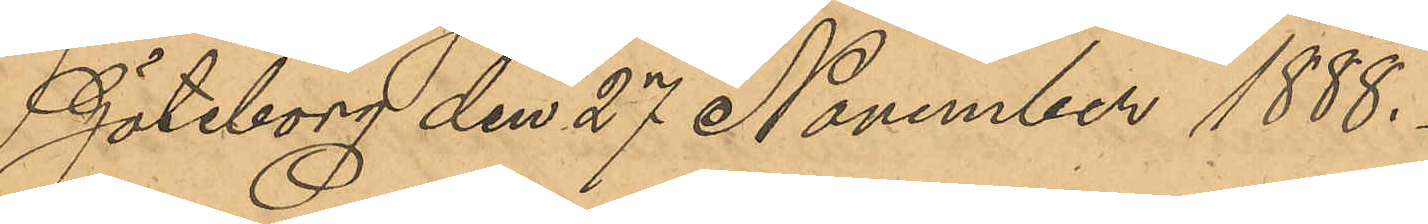Göteborg den 27 November 1888.
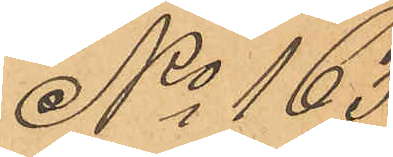No 163
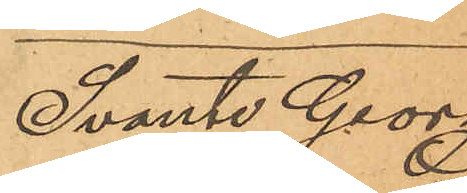Svante Georg
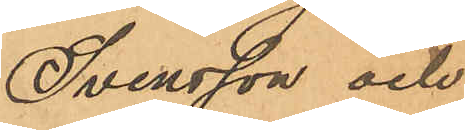Svensson och
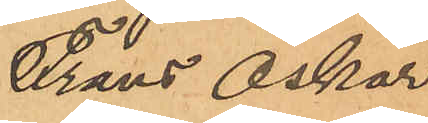Frans Oskar
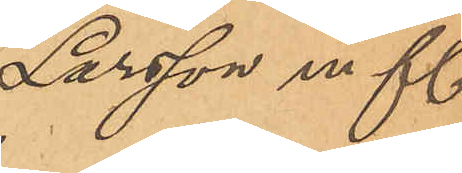Larsson m fl.
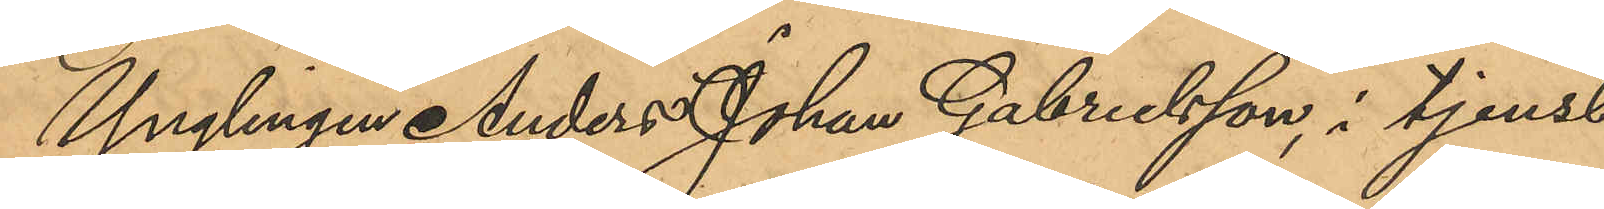Ynglingen Anders Johan Gabrielsson, i tjenst
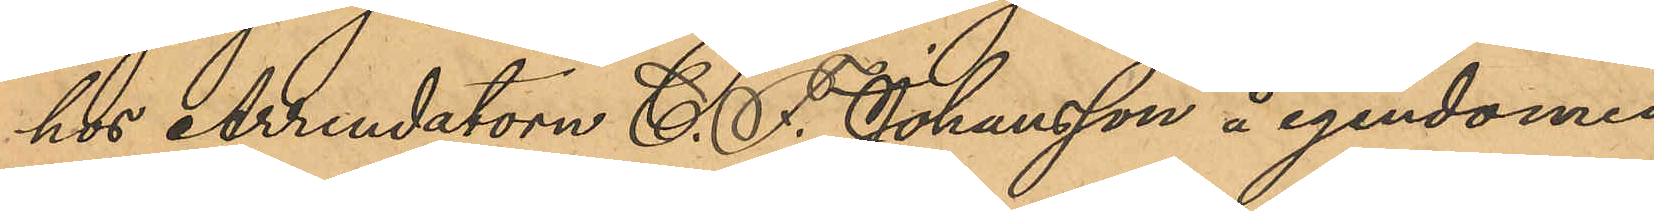hos Arrendatorn C. F. Johansson å egendomen
